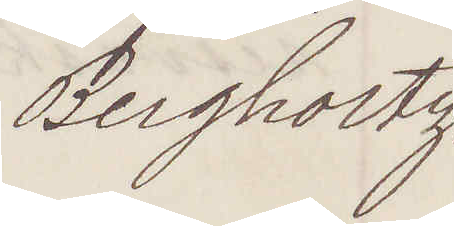Bergholtz
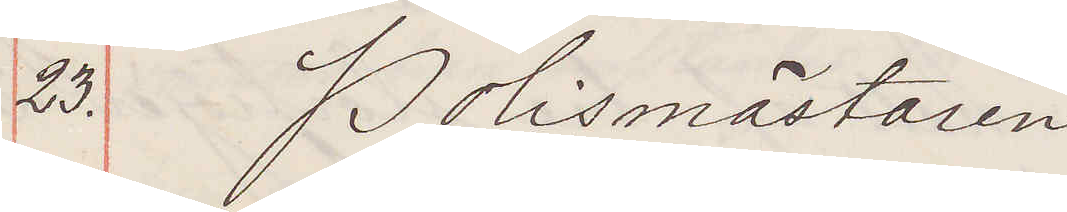23. Polismästaren
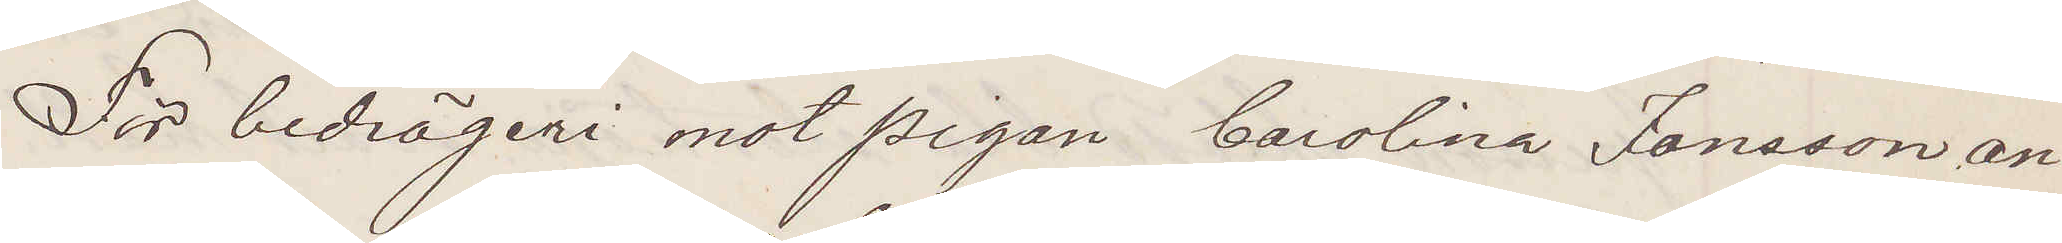För bedrägeri mot pigan Carolina Jonsson an¬
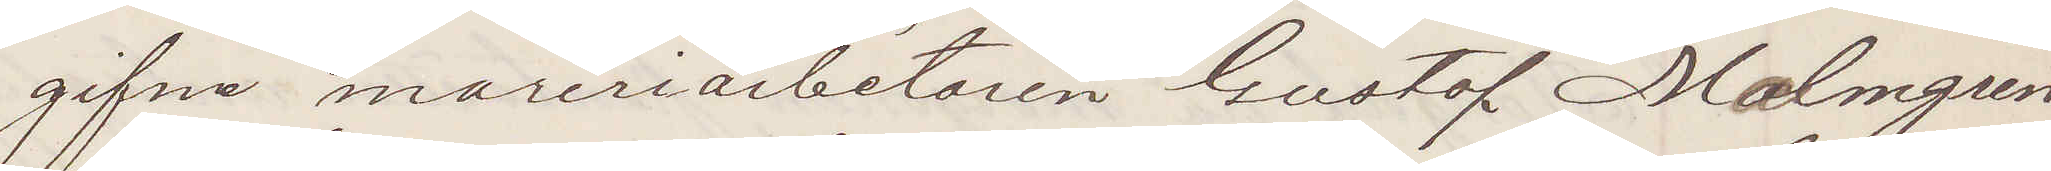gifne mureriarbetaren Gustaf Malmgren
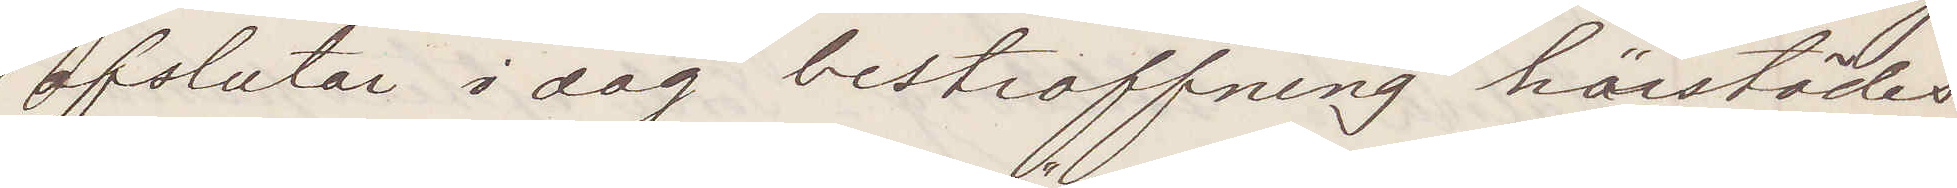afslutar i dag bestraffning härstädes
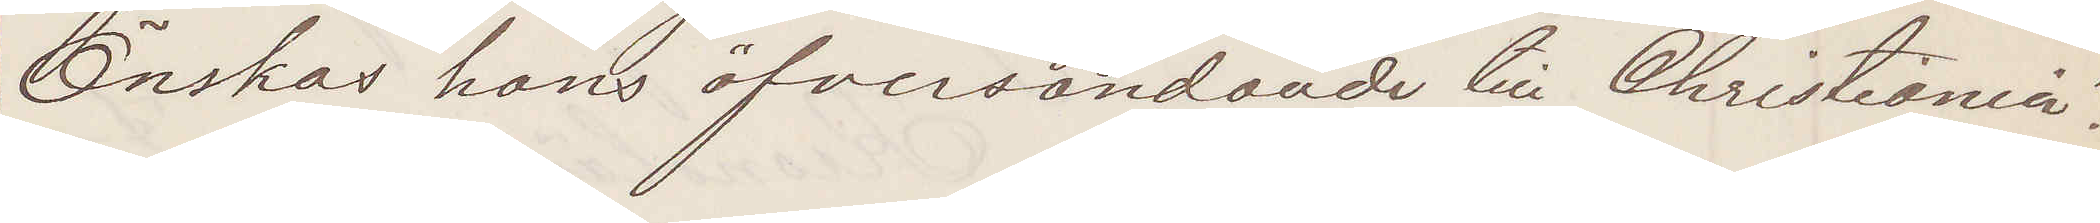Önskas hans öfversändande till Christiania.
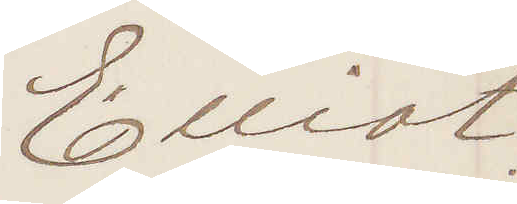Elliot.
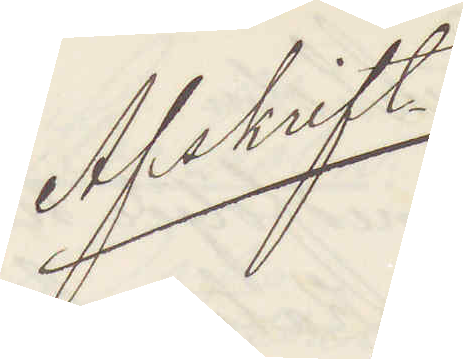Afskrift
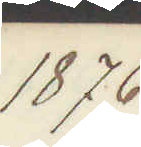1876.
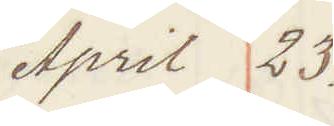April 23.
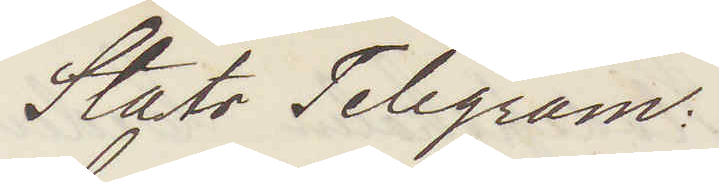Stats Telegram:
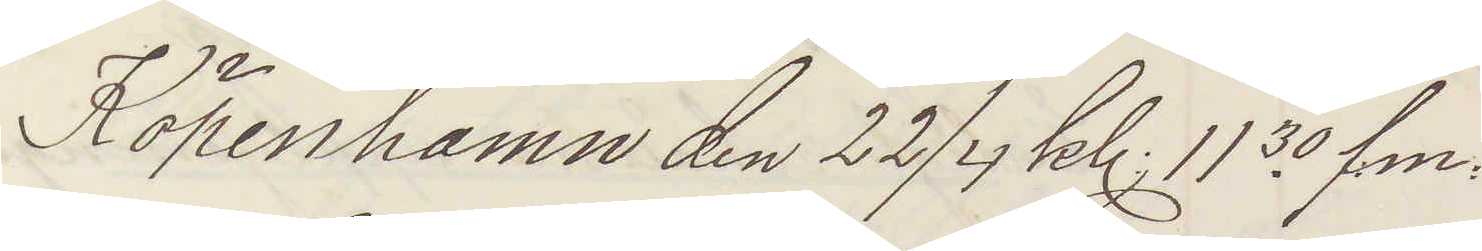Köpenhamn den 22/4 kl 11.30 f.m.
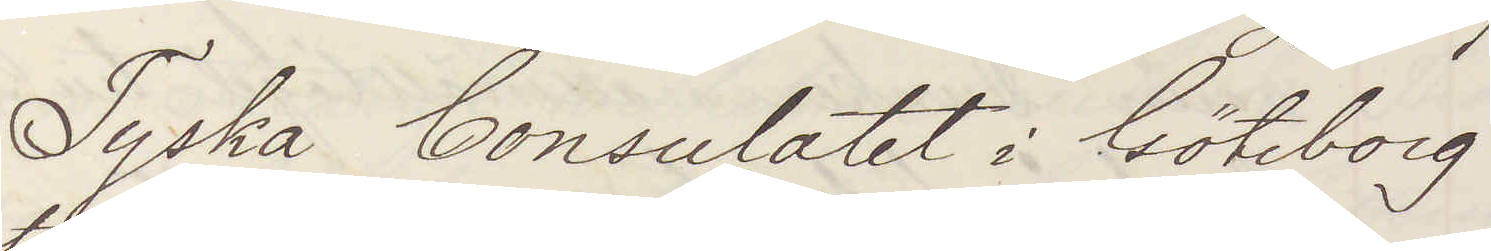Tyska Consulatet i Göteborg
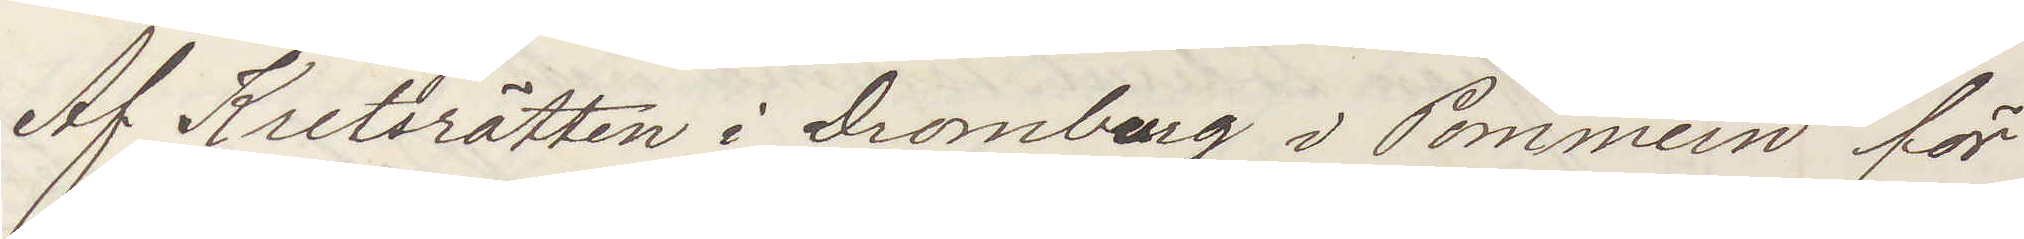Af Kretsrätten i Dromburg i Pommern för
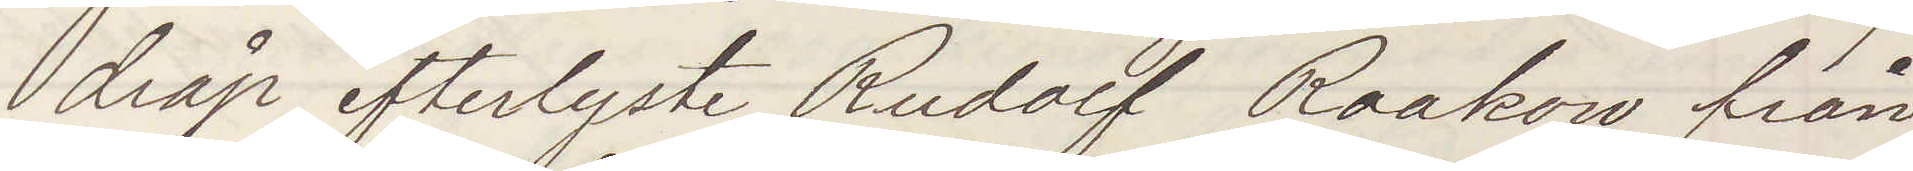dråp efterlyste Rudolf Raakow från
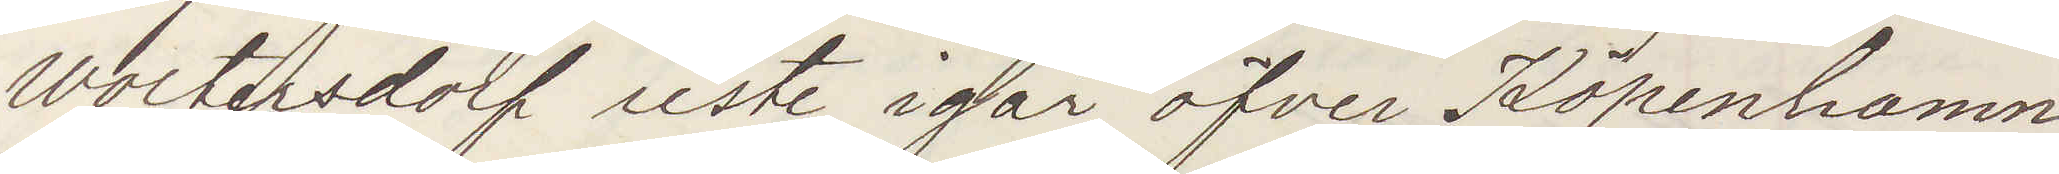Woltersdorf reste igår öfver Köpenhamn
